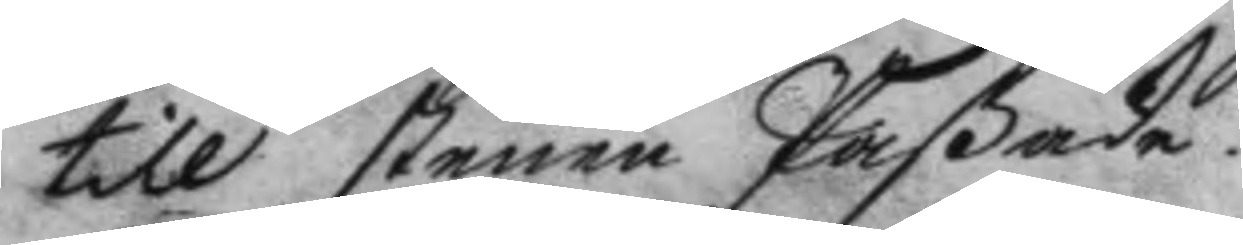till stenen Paßade.
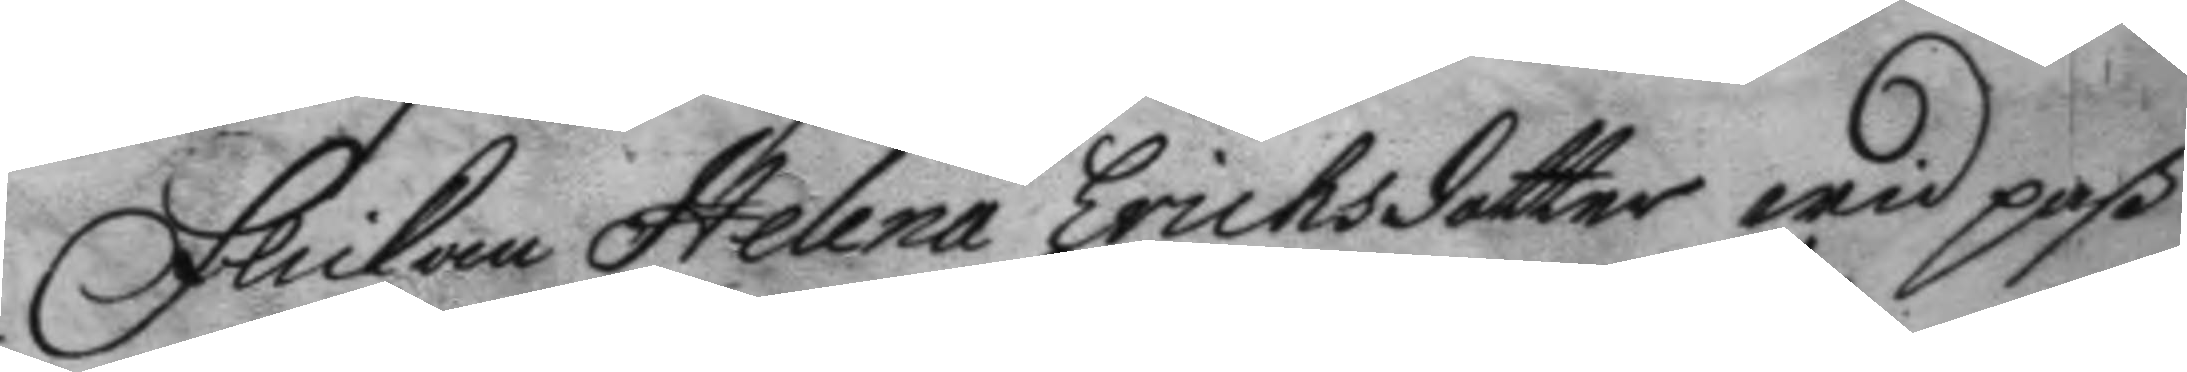Flickan Helena Ericksdotter wid paß
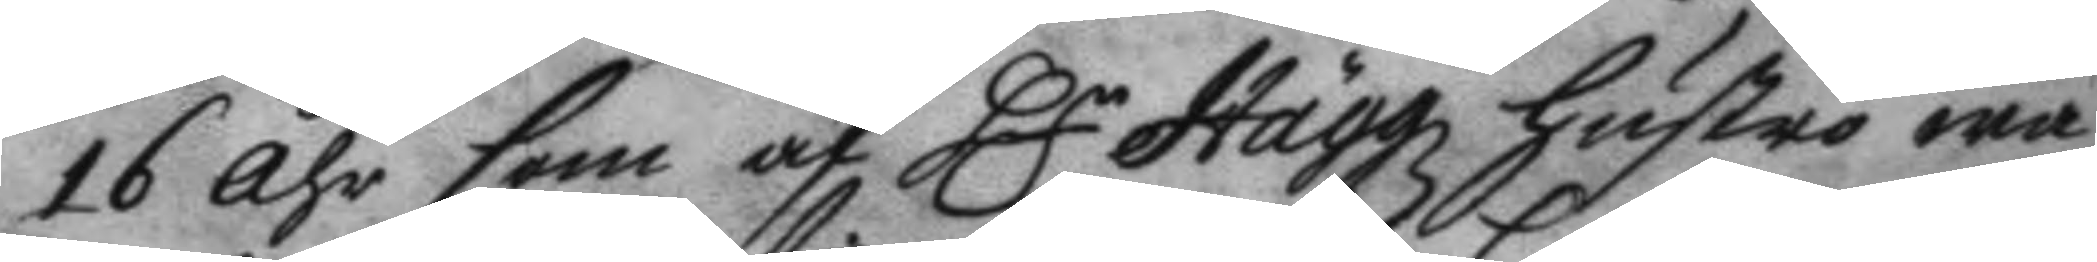16 åhr som af Hr Häggz hustro wa¬
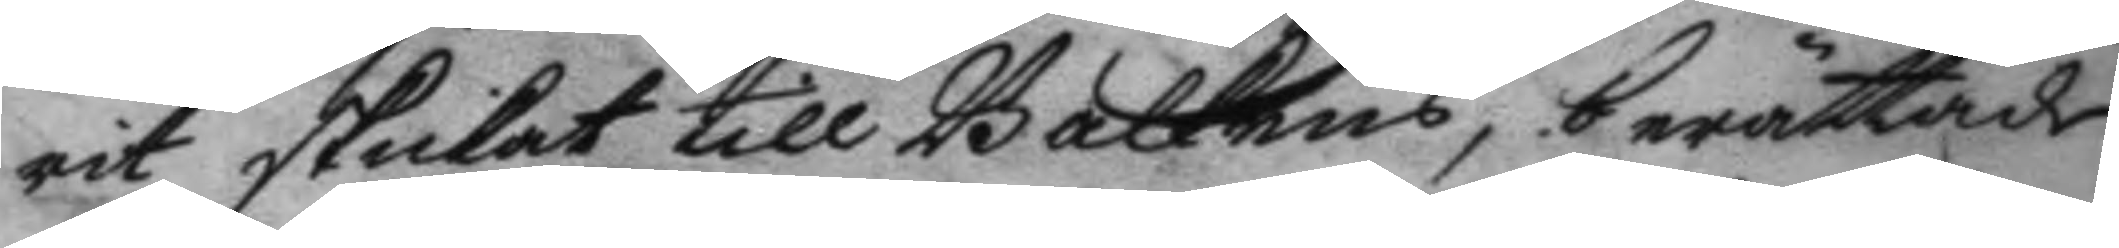rit skickat till Galkens, berättade 
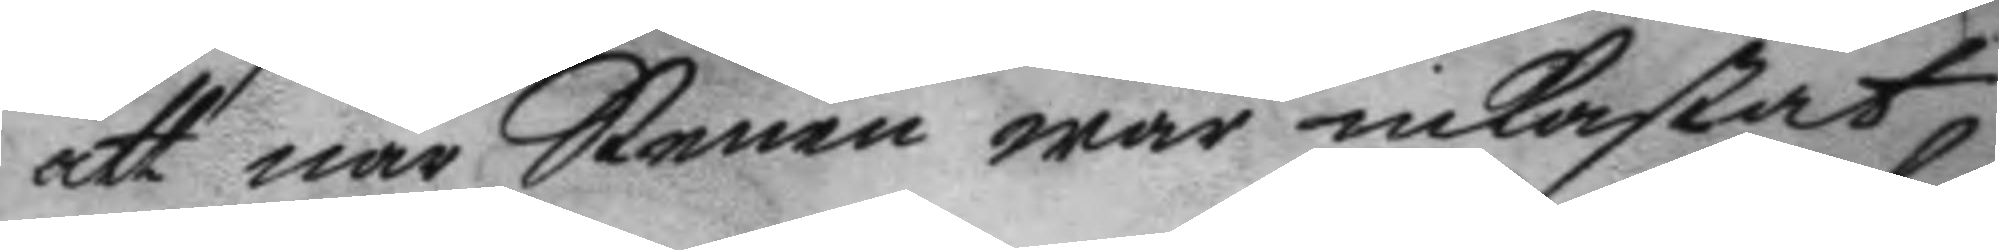att när Stenen war inkastat
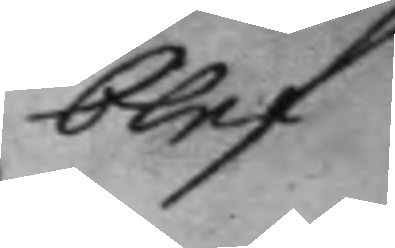blef
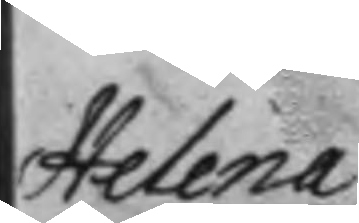Helena
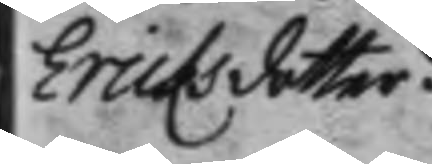Ericksdotter.
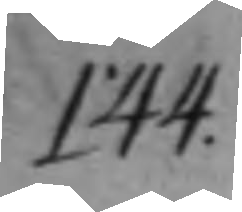144.
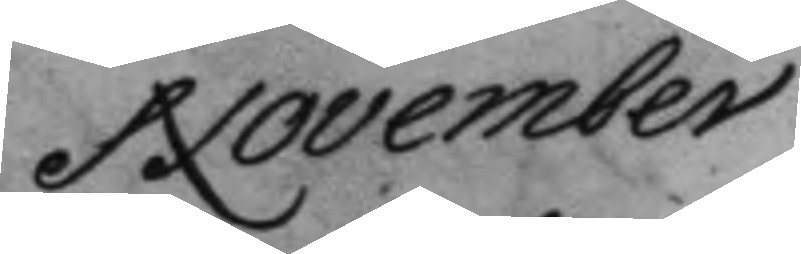November
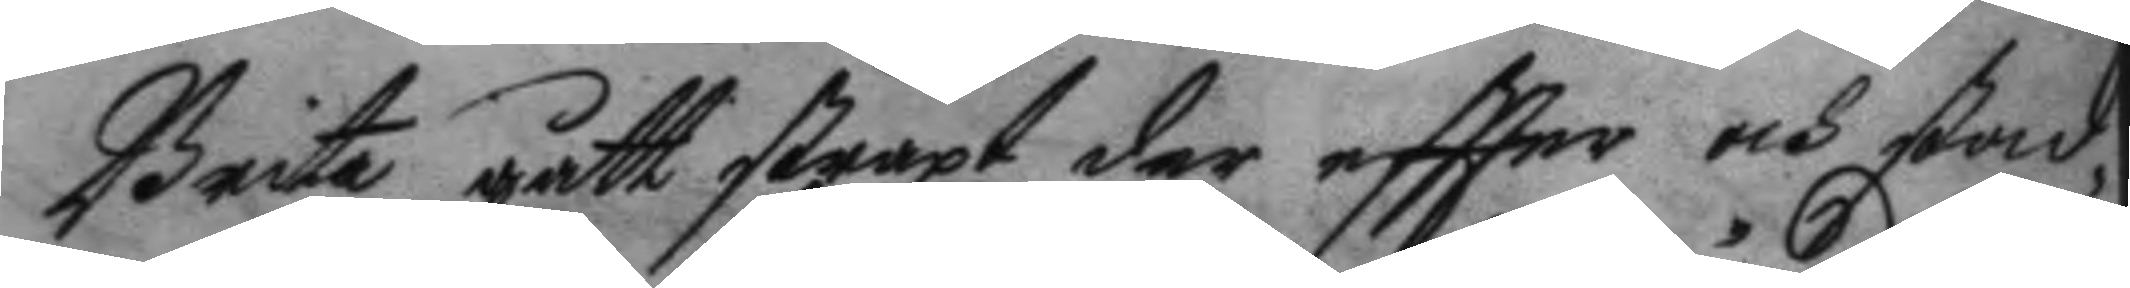Brita gått straxt der eftter och stad¬
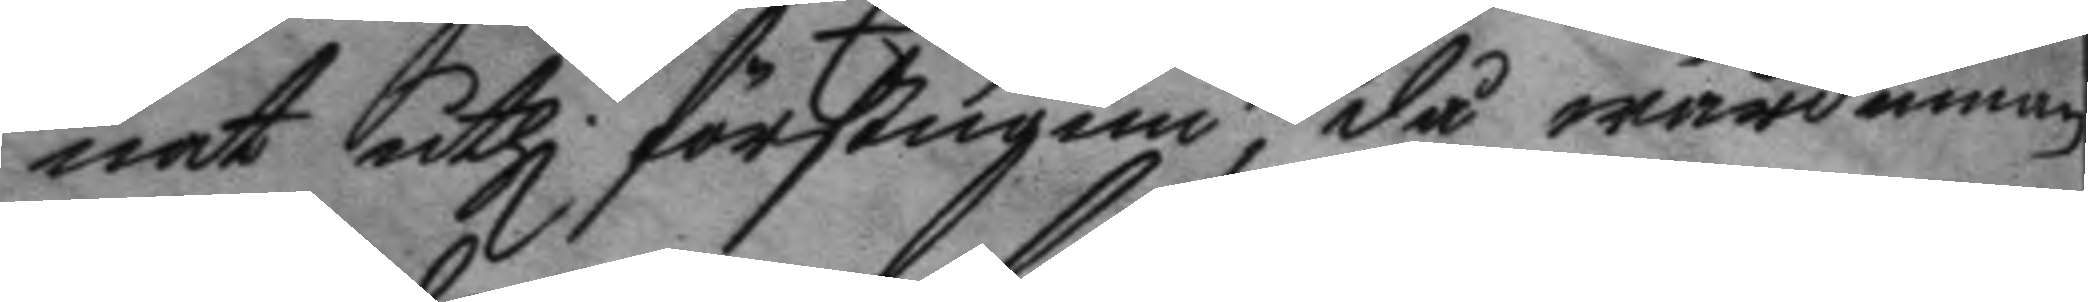nat uthi förstugun, då wärdinnan
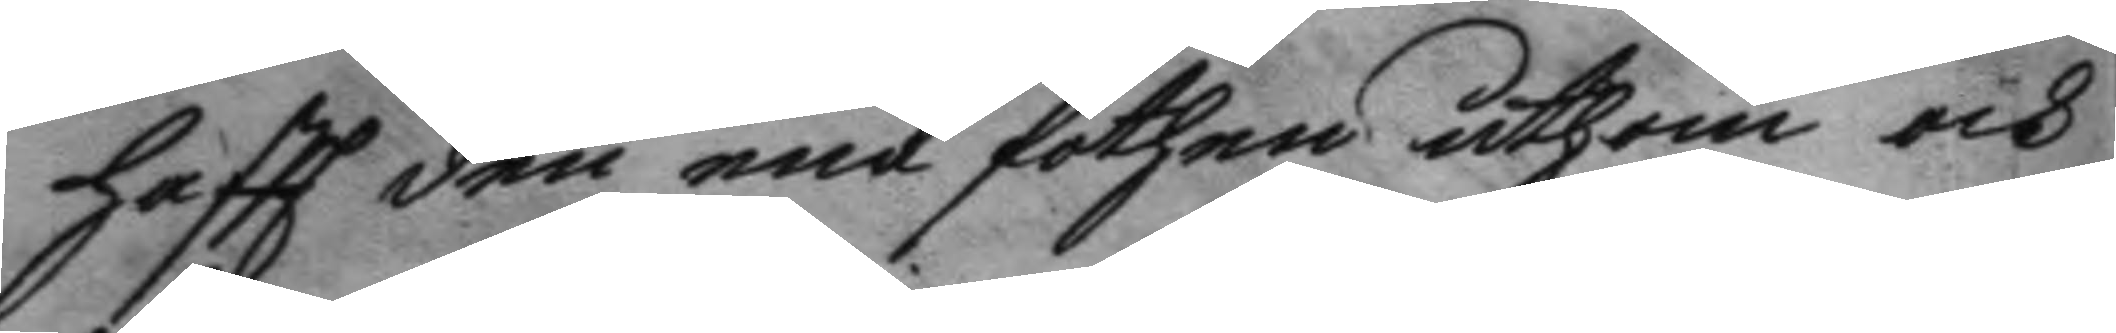haft den ene fothen uthom och
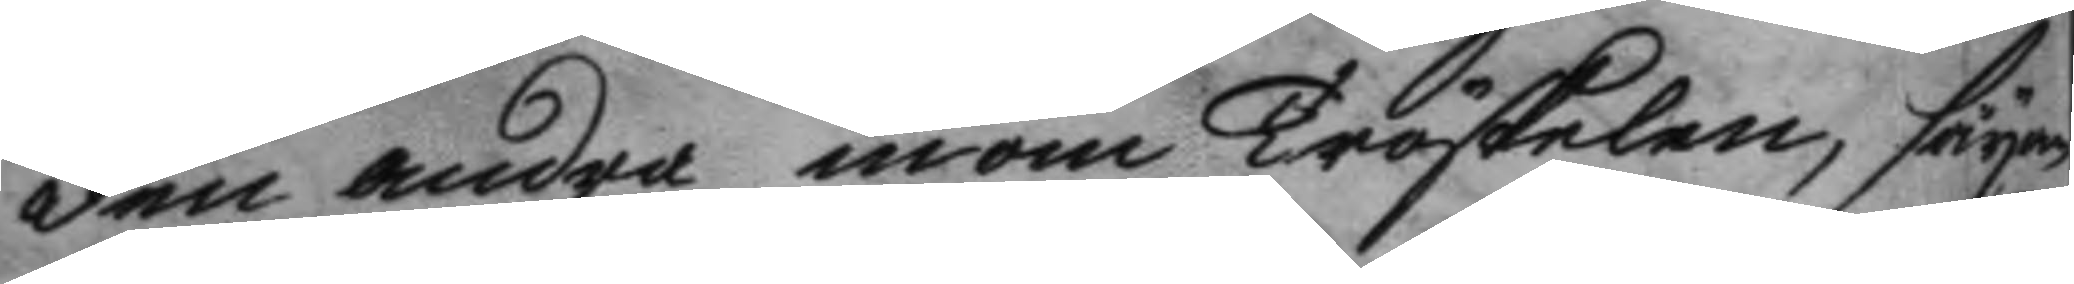den andra inom Tröskelen, säyan¬
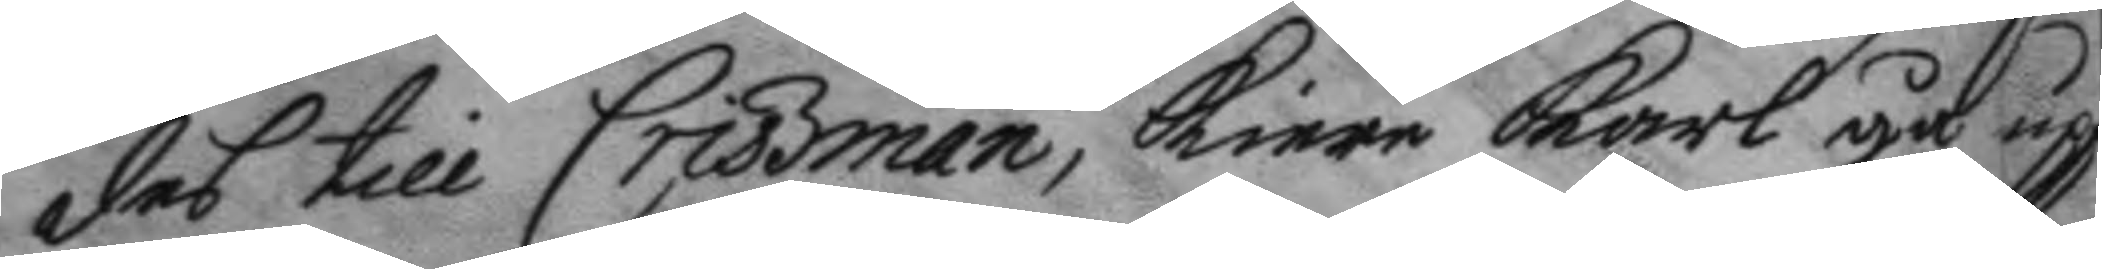des till Crissman, kiere karl gå upp
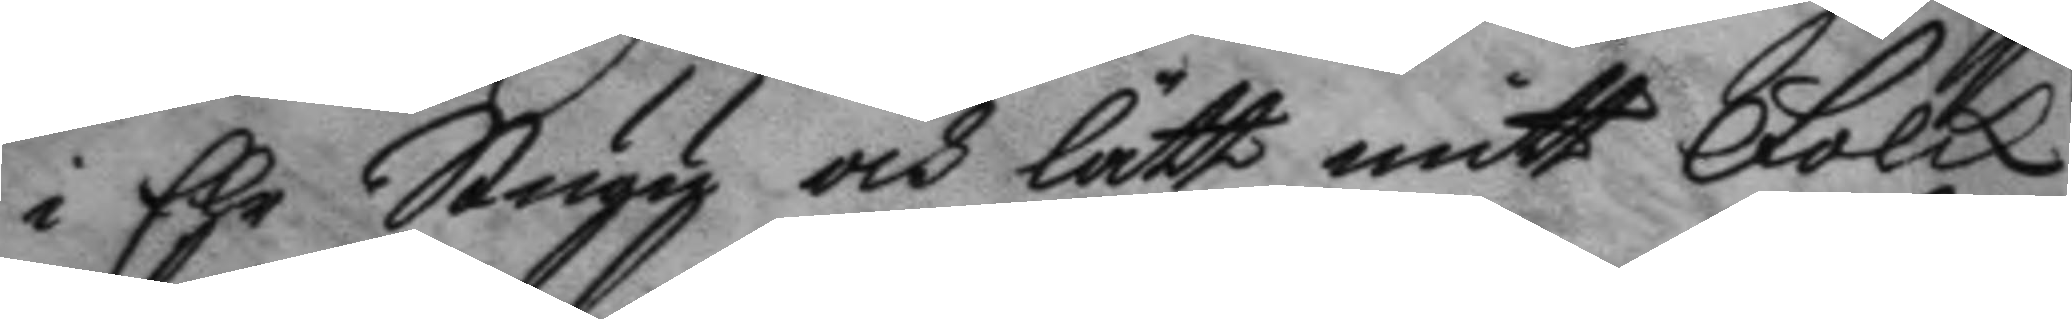i Ehr Stugy och lätt mitt Folck
